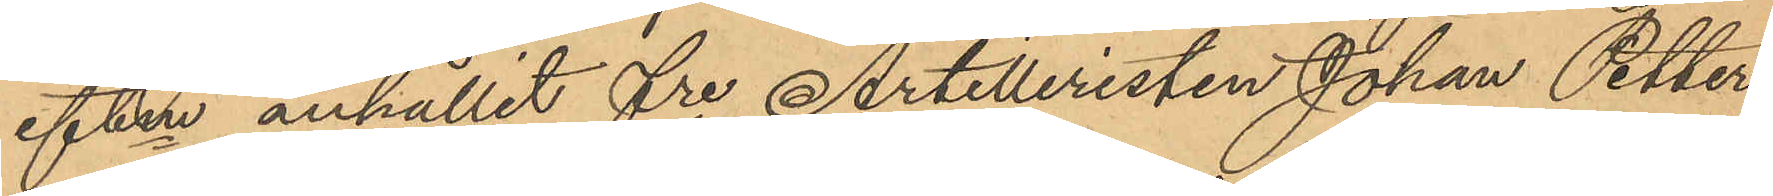eftm anhållit fre Artilleristen Johan Petter
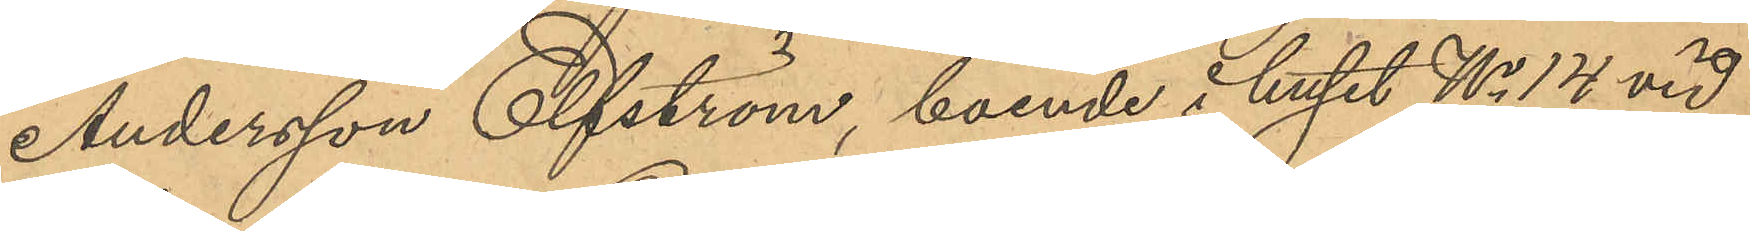Andersson Elfström, boende i huset No 14 vid
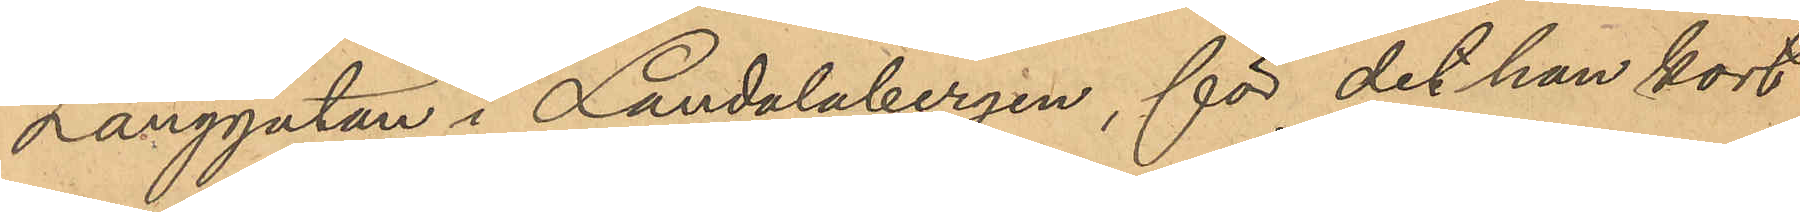Långgatan i Landalabergen, för det han kort
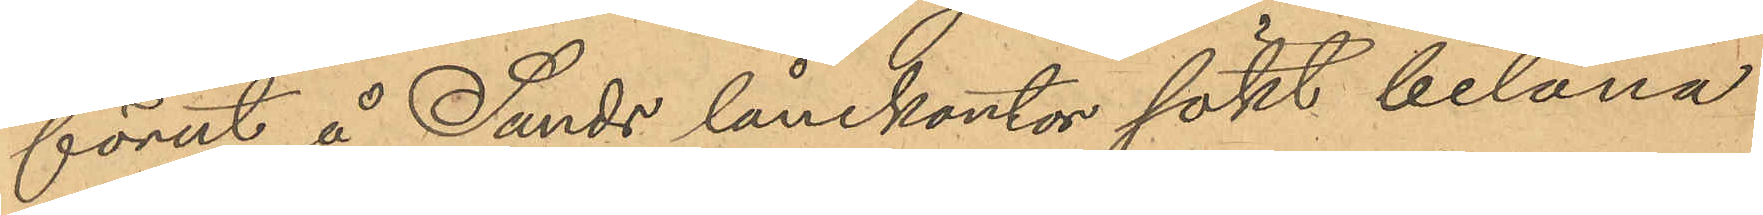förut å Sands lånekontor sökt belåna
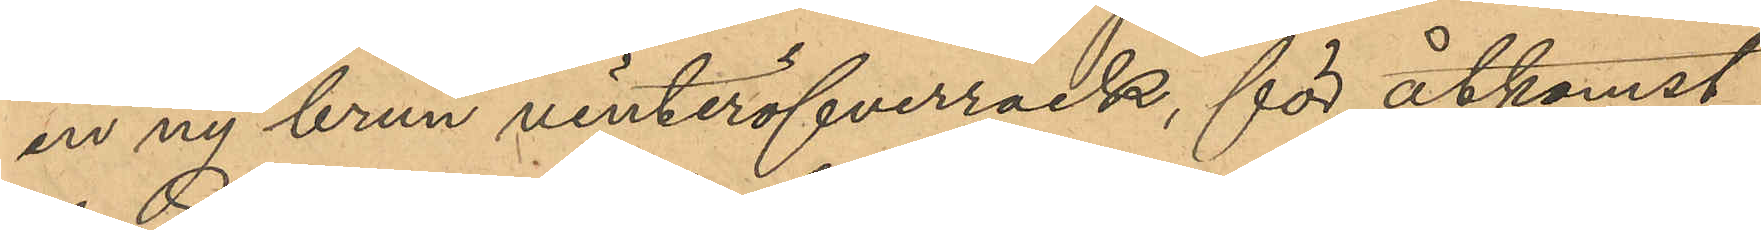en ny brun vinteröfverrock, för åtkomst
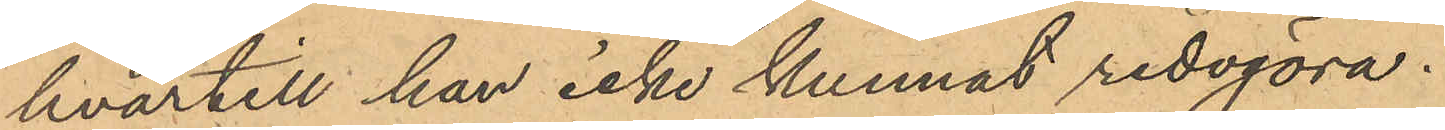hvartill han icke kunnat redogöra.
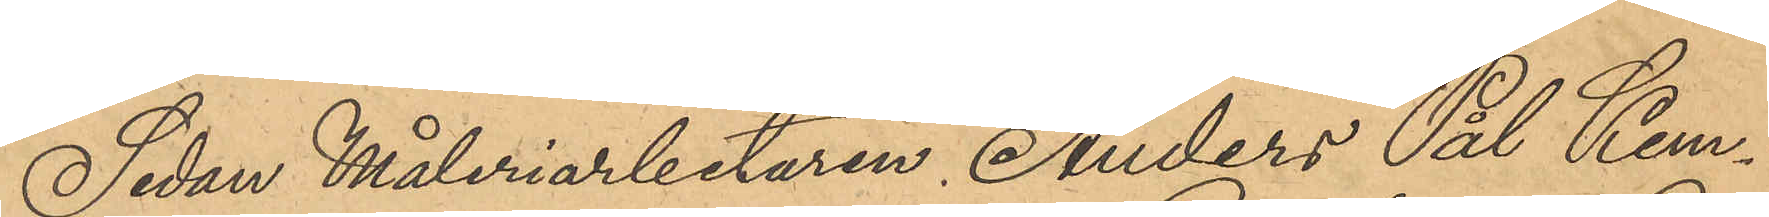Sedan Måleriarbetaren Anders Pål Kem¬
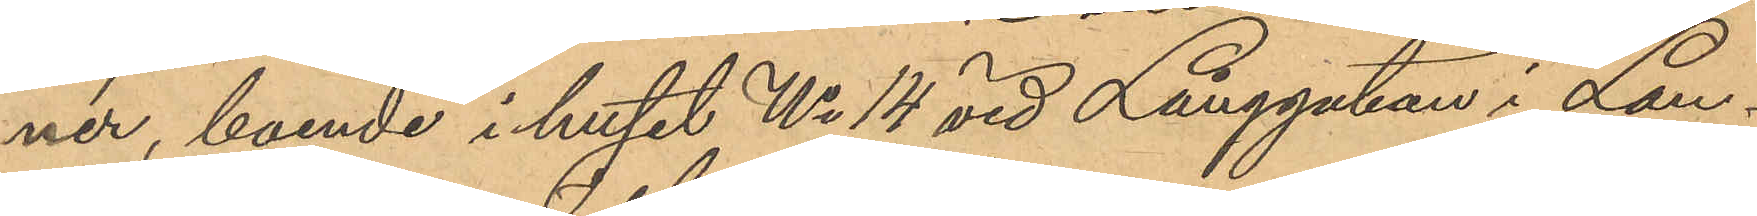nér, boende i huset No 14 vid Långgatan i Lan¬
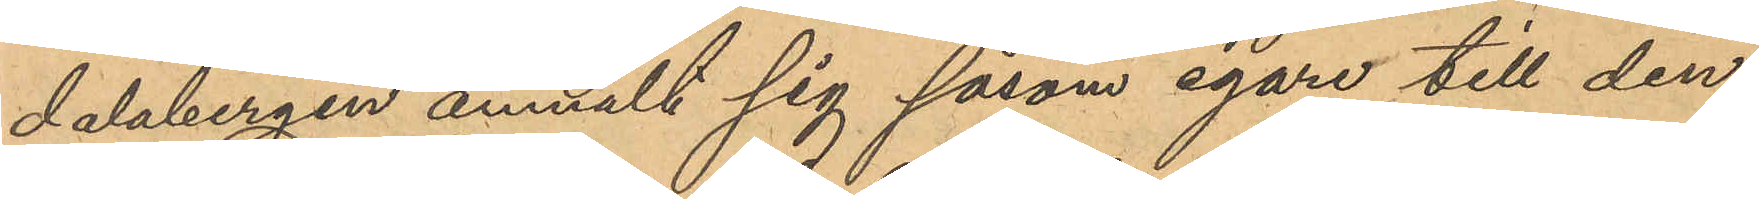dalabergen anmält sig såsom egare till den
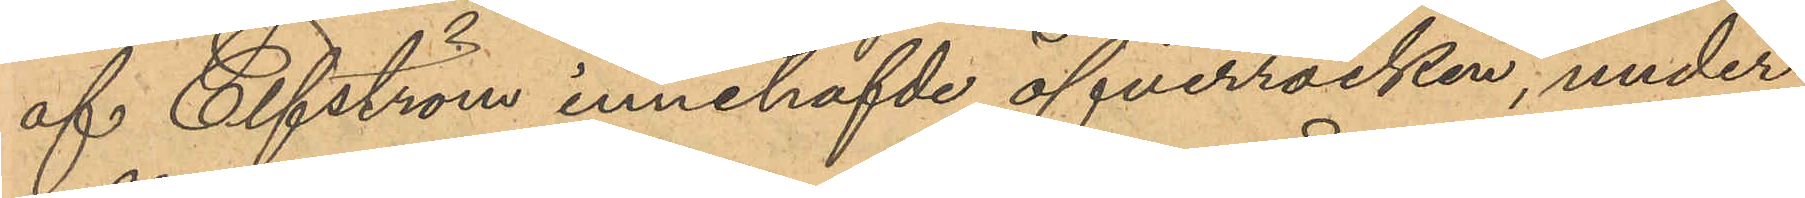af Elfström innehafvde öfverrocken, under
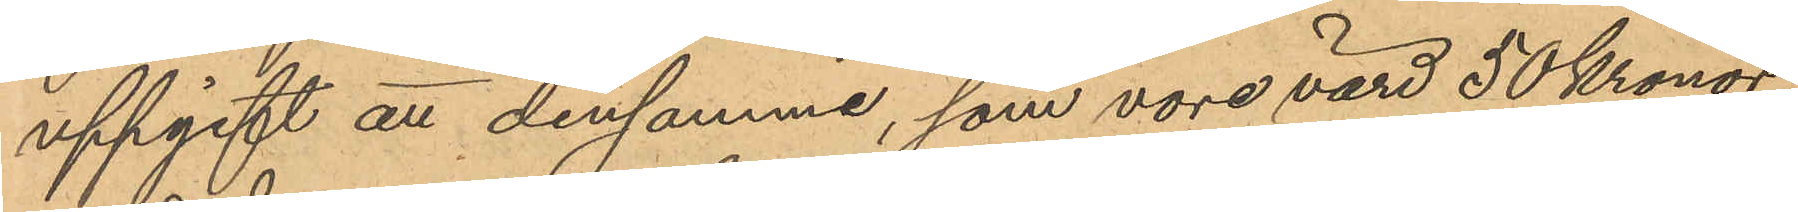uppgift att densamma, som vore värd 50 Kronor,
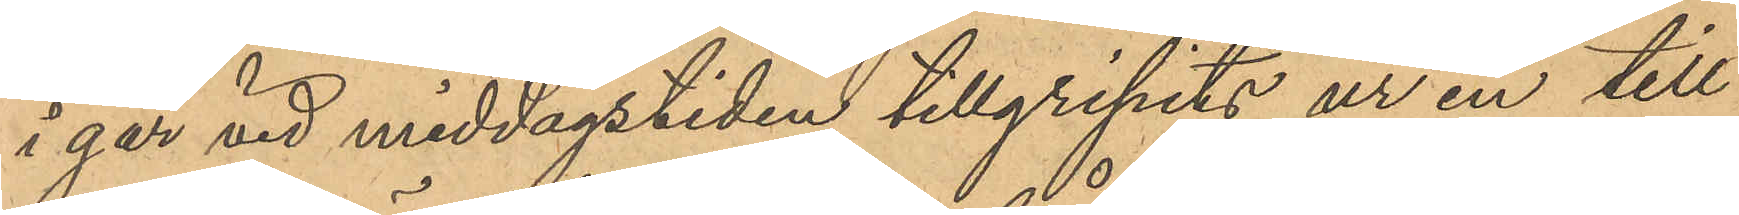i går vid middagstiden tillgripits ur en till
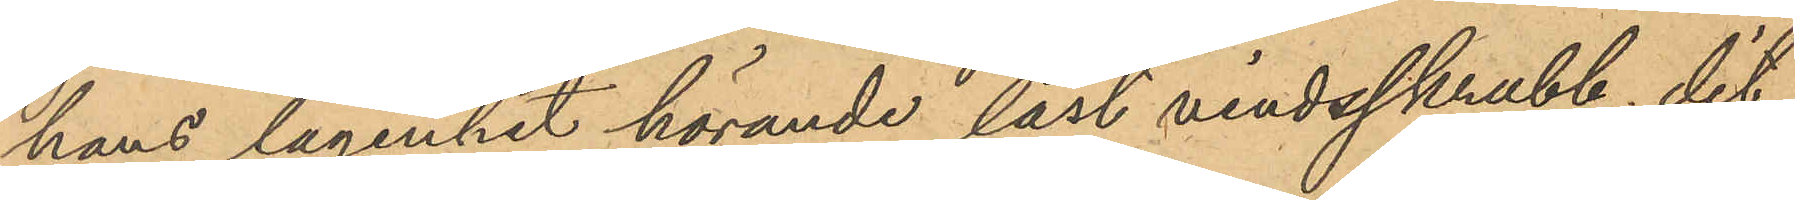hans lägenhet hörande låst vindsskrubb, dit
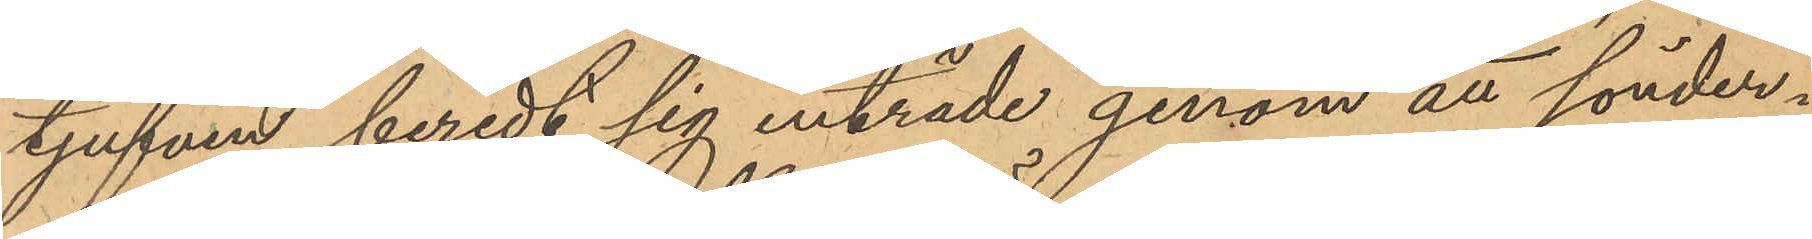tjufven beredt sig inträde genom att sönder¬
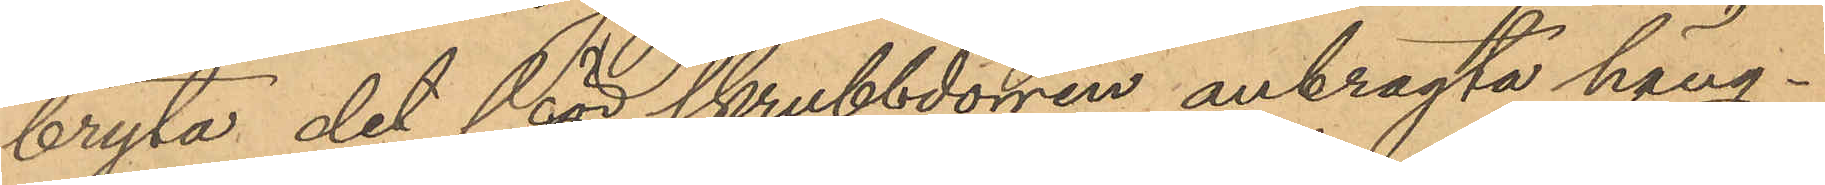bryta det för skrubbdörren anbragta häng¬
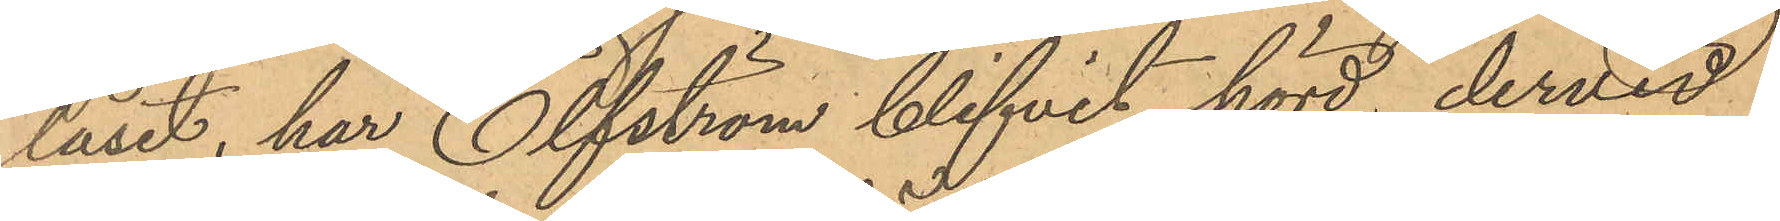låset, har Elfström blifvit hörd, dervid
